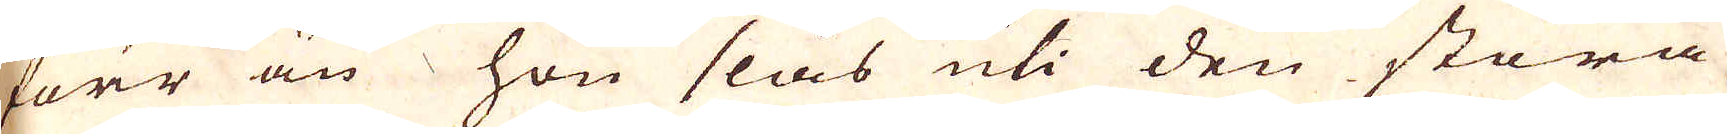förr än hon slås uti den stora
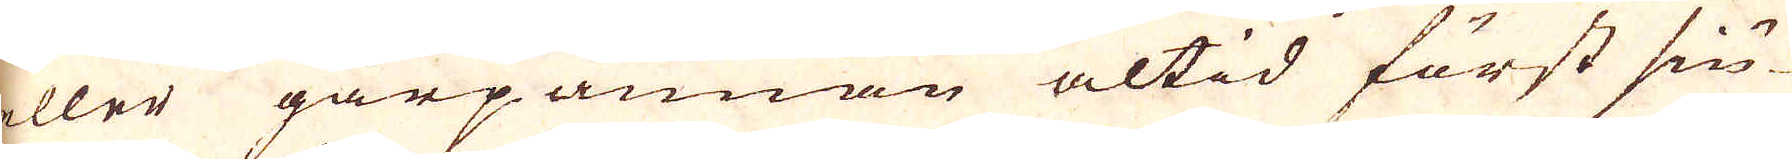eller gårpannan altid först siu-
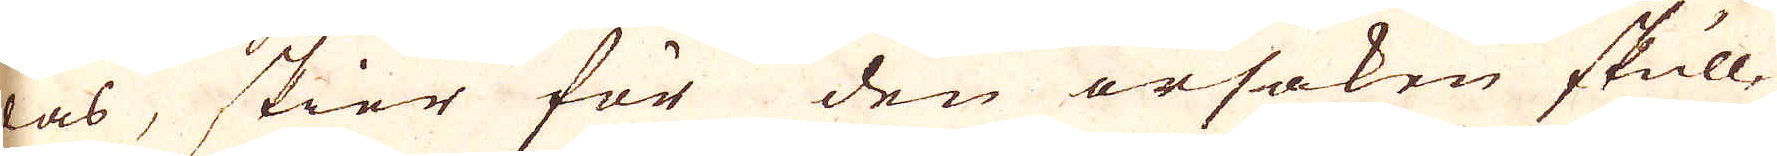das, skier för den orsaken skull,
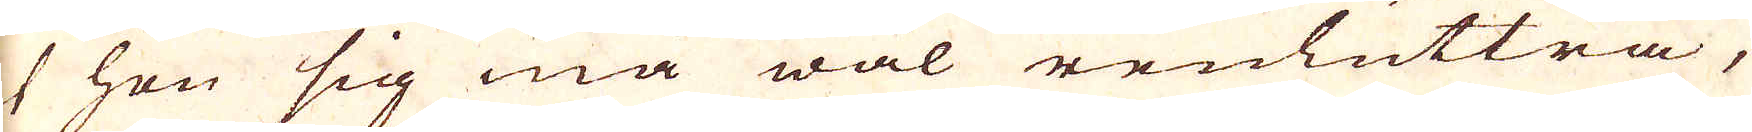at hon sig må wäl renluttra,
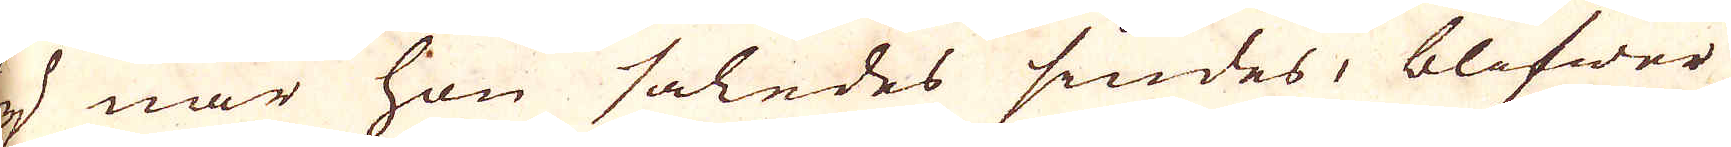ty när han således siudes, blifwer
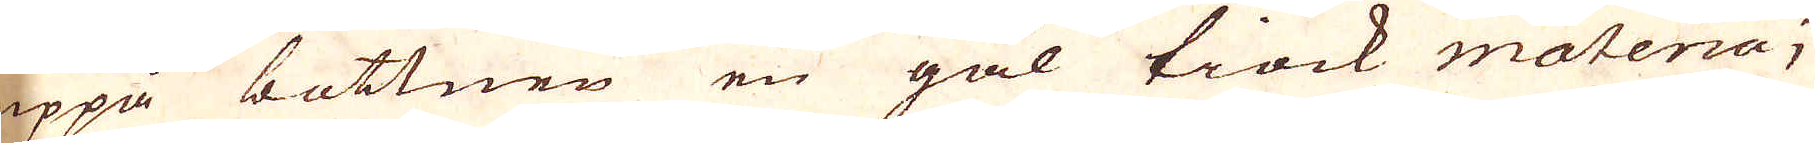uppå bottnen en gål tiock materia;
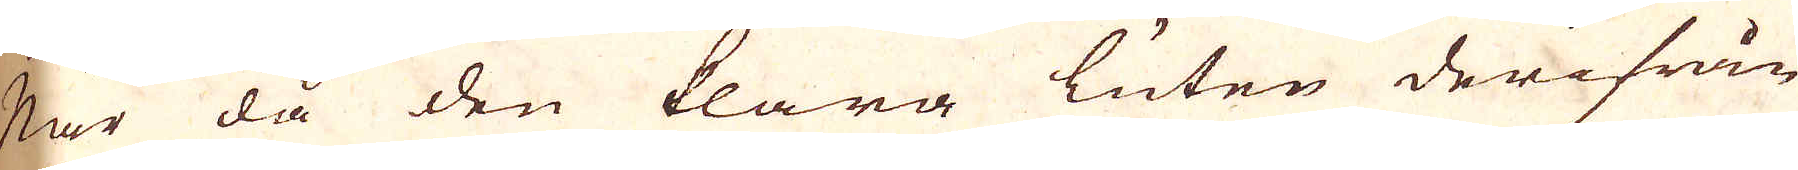När då den klara luten derifrån
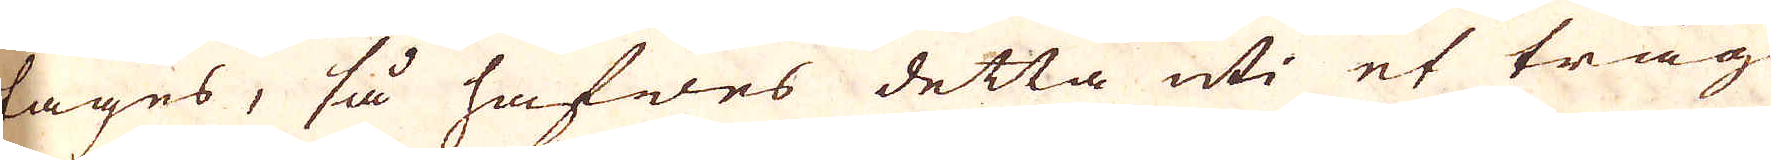tages, så hafwes detta uti et tråg
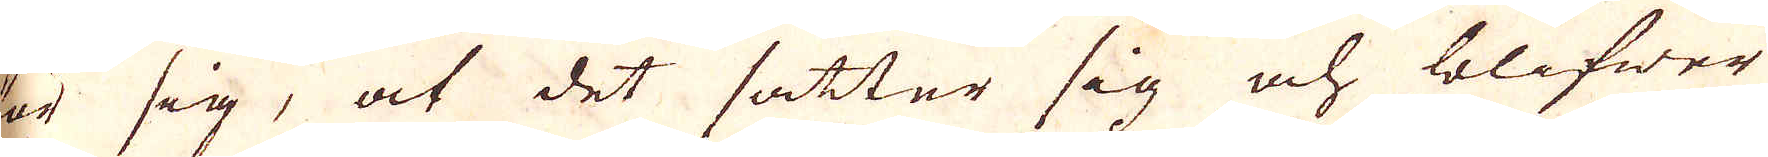för sig, at det sätter sig och blifwer
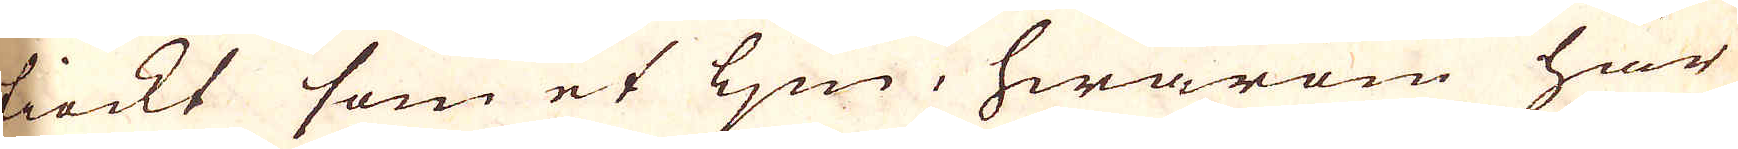tiockt som et ljus, hwarom här
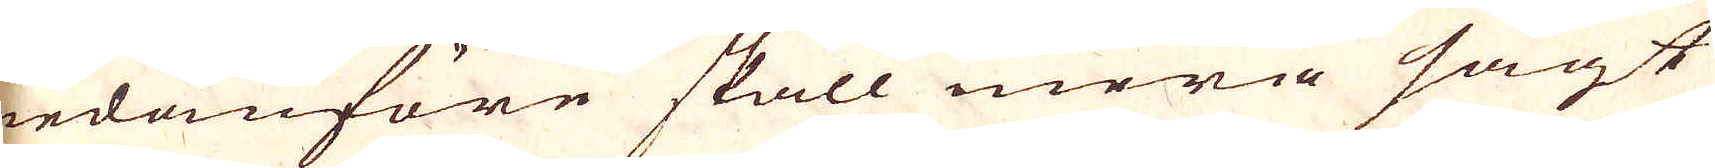nedomföre skall mera sagt
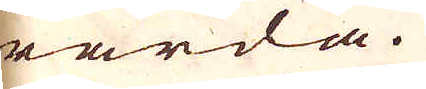warda.
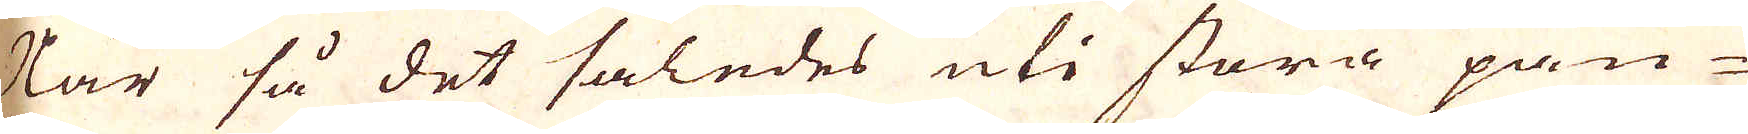När så det således uti stora pan-
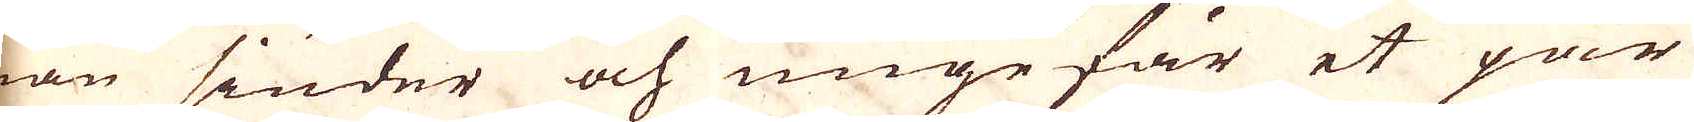nan siuder och ungefär et par
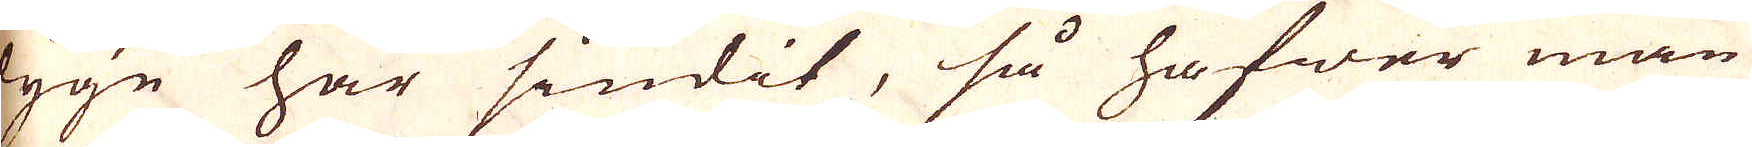dygn har siudit, så hafwer man
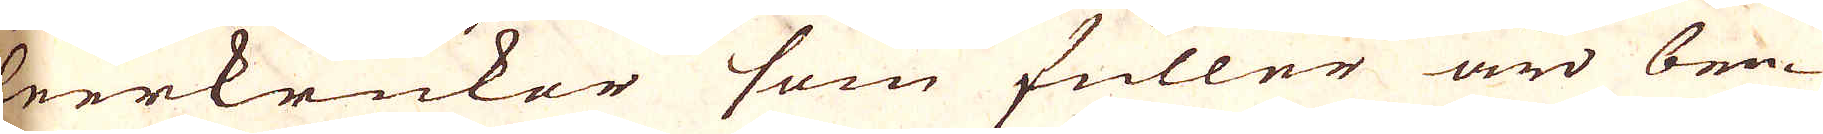leerkruker som fuller äro bre-
